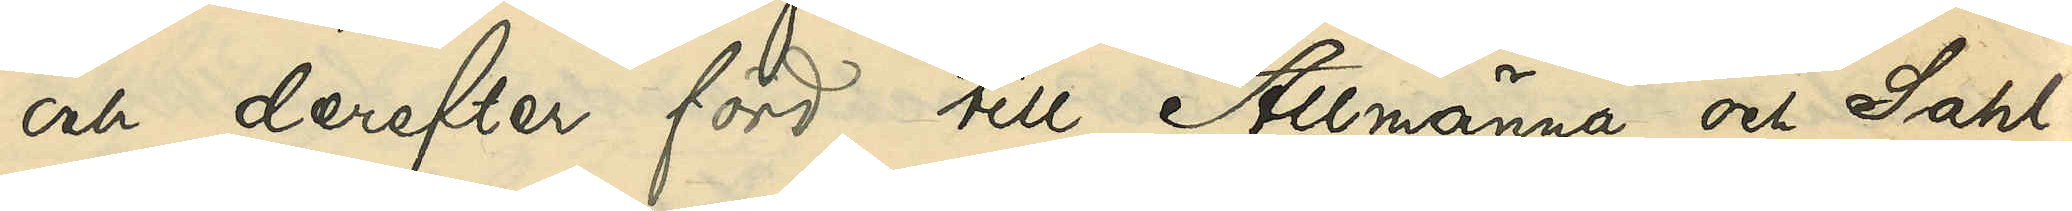och derefter förd till Allmänna och Sahl¬
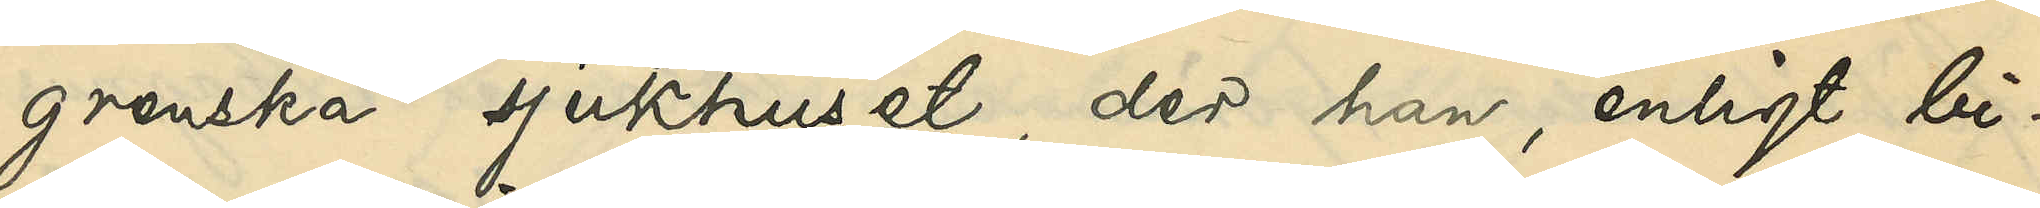grenska sjukhuset, der han, enligt bi¬
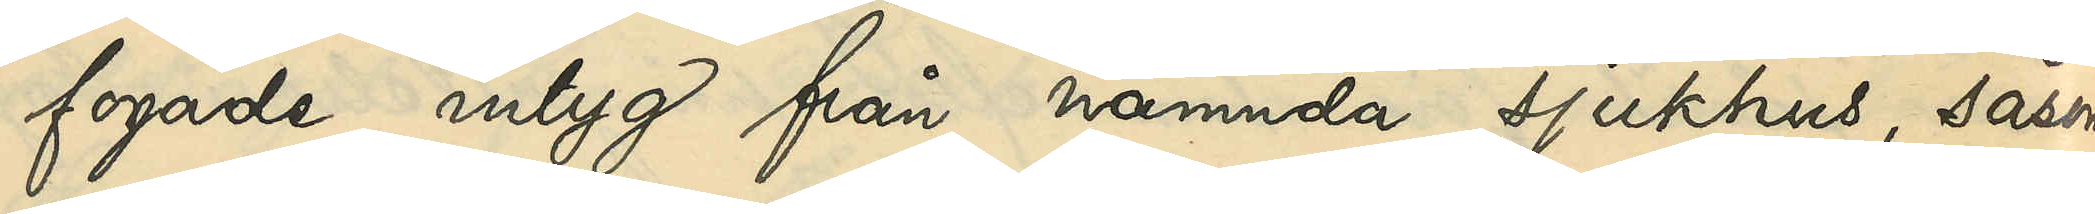fogade intyg från nämnda sjukhus, såsom
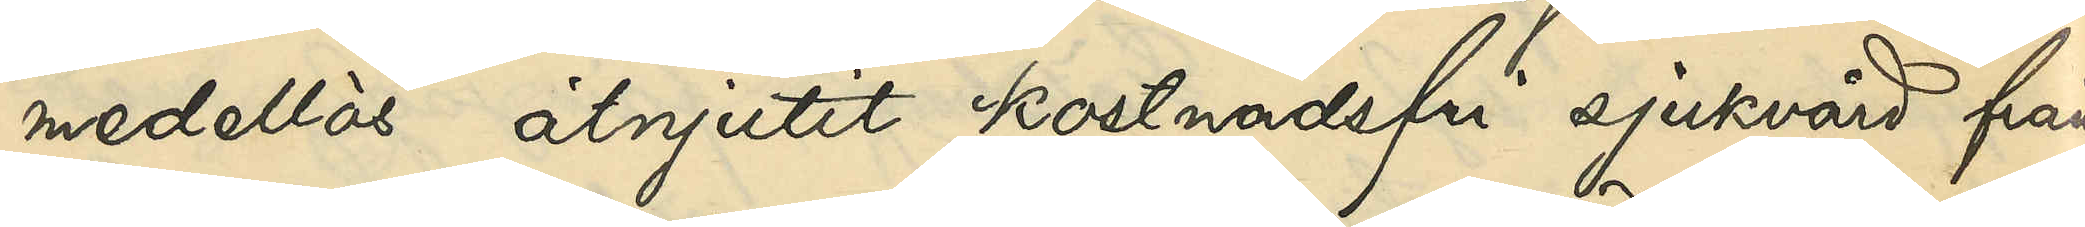medellös åtnjutit kostnadsfri sjukvård från
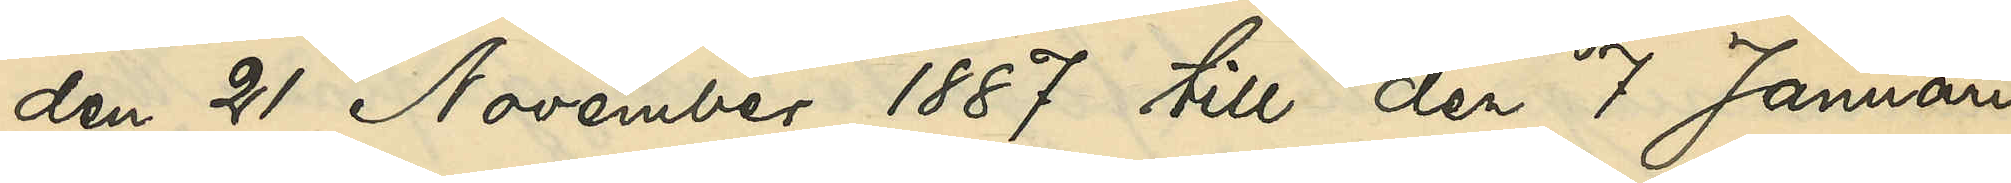den 21 November 1887 till den 7 Januari
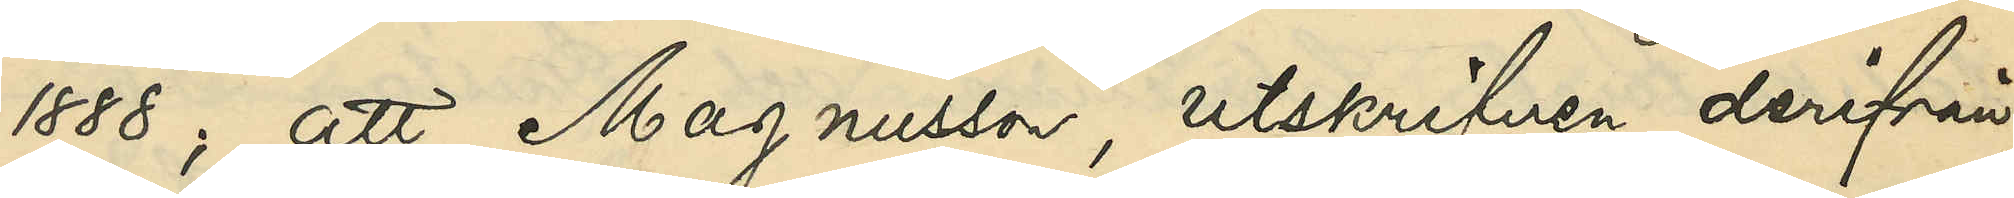1888; att Magnusson, utskrifven derifrån,
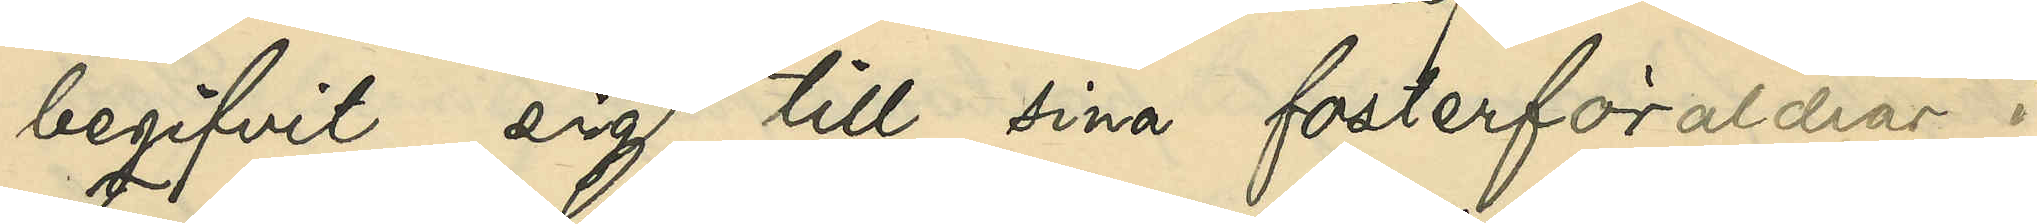begifvit sig till sina fosterföräldrar i
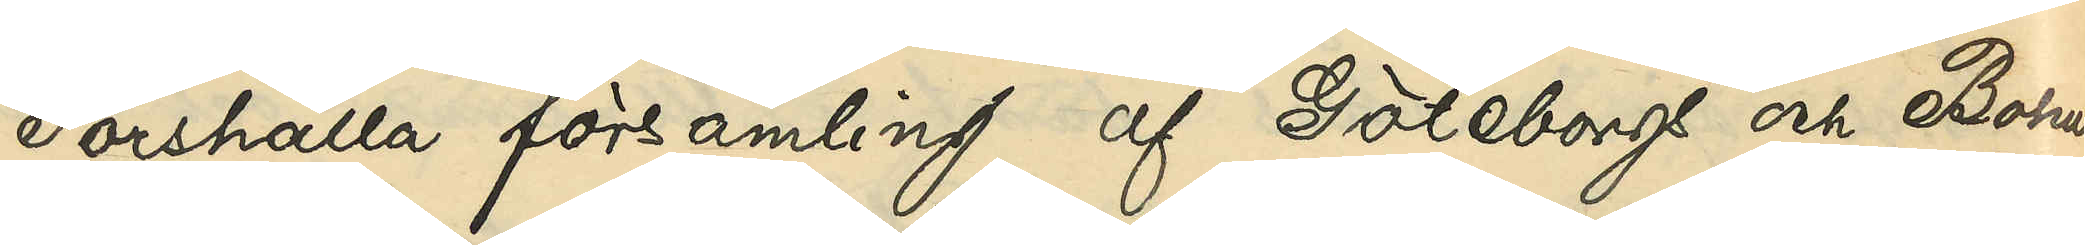Forshälla församling af Göteborgs och Bohus
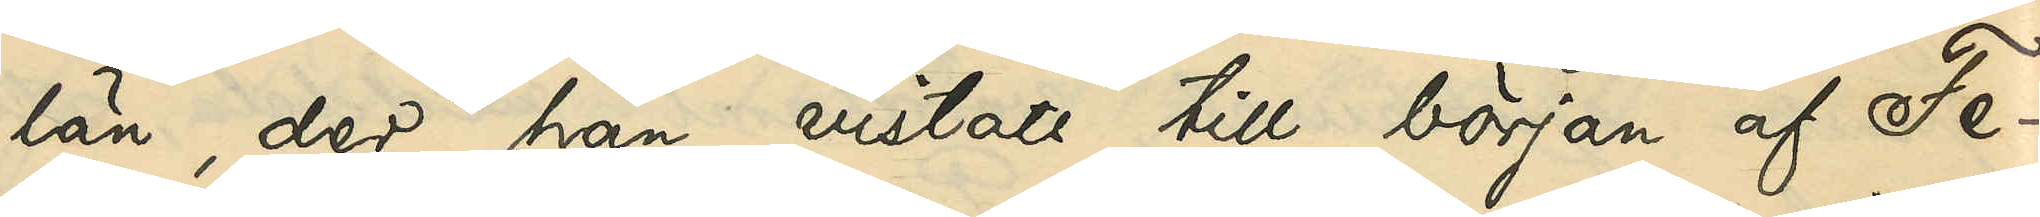län, der han vistats till början af Fe¬
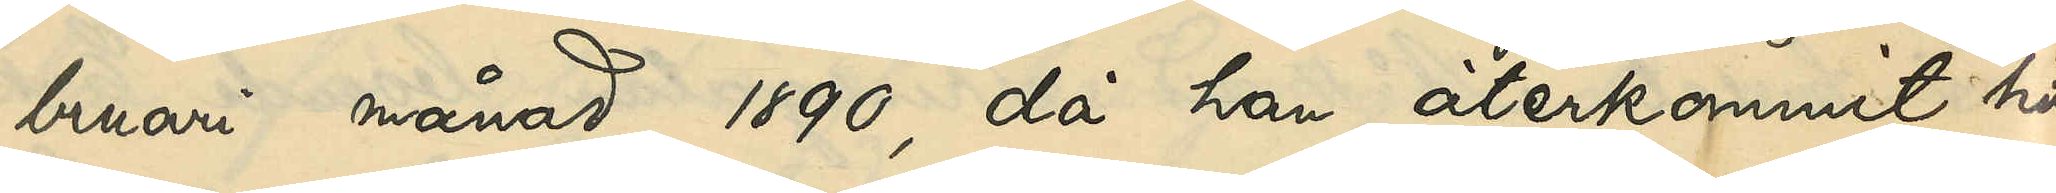bruari månad 1890, då han återkommit hit
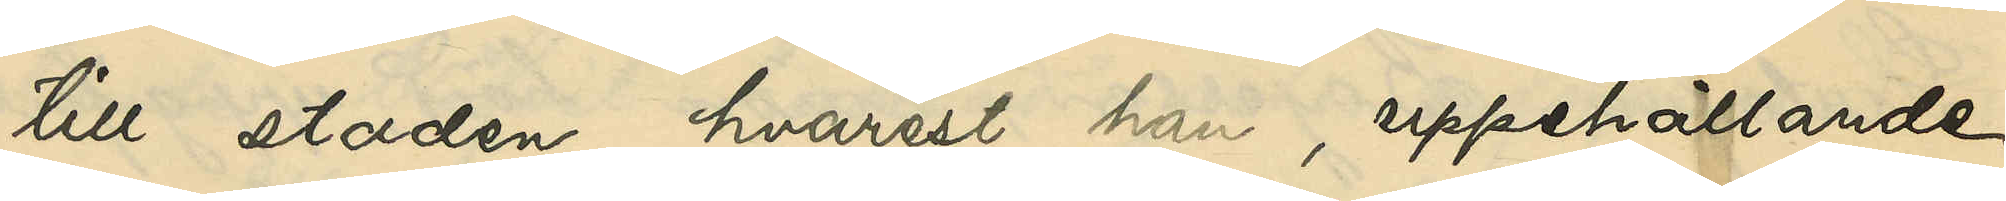till staden, hvarest han, uppehållande
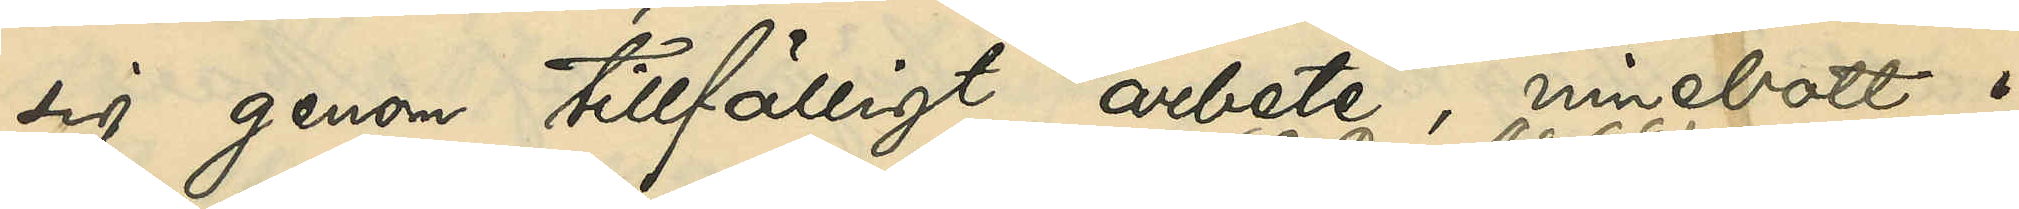sig genom tillfälligt arbete, innebott i
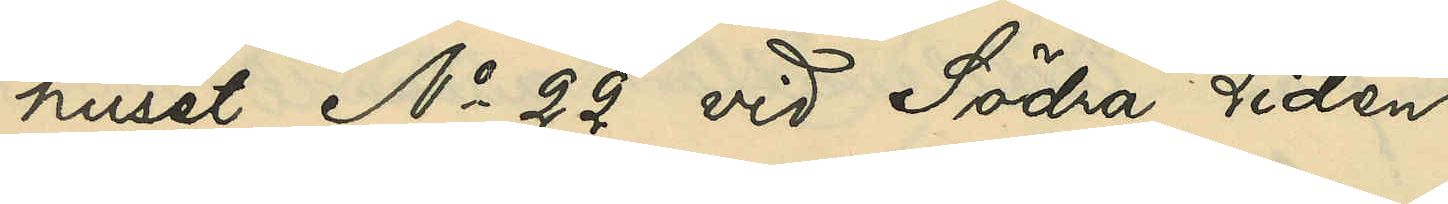huset No 22 vid Södra Liden
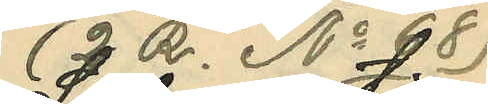(2 R. No 68)
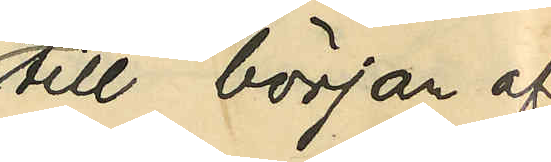till början af
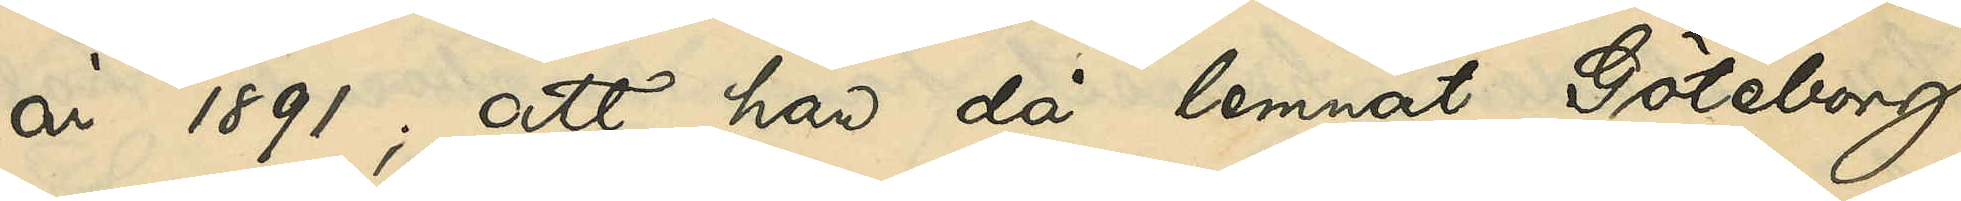år 1891; att han då lemnat Göteborg
